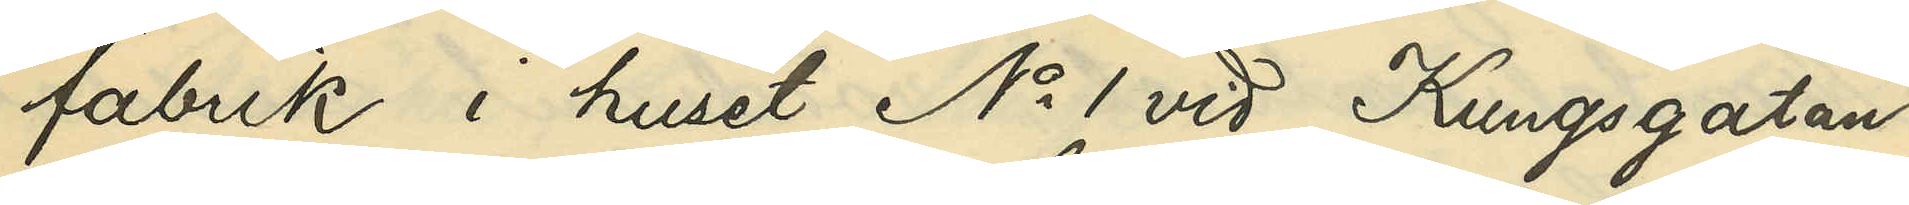fabrik i huset No 1 vid Kungsgatan.
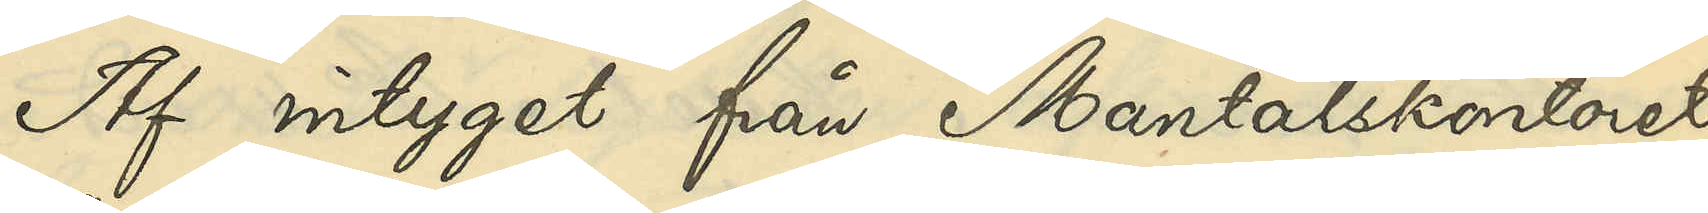Af intyget från Mantalskontoret
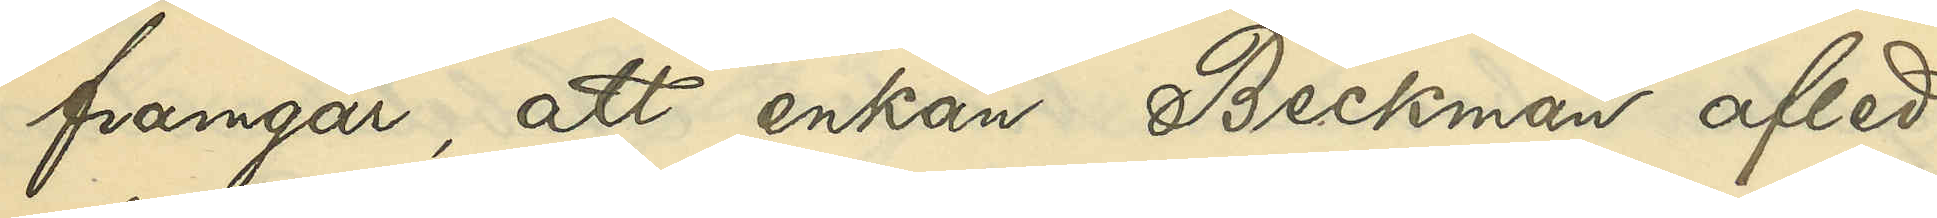framgår, att enkan Beckman afled
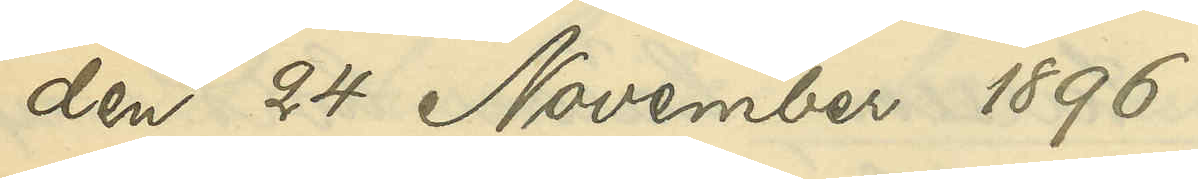den 24 November 1896.
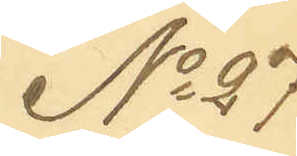No 27
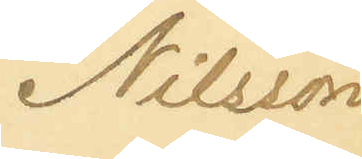Nilsson
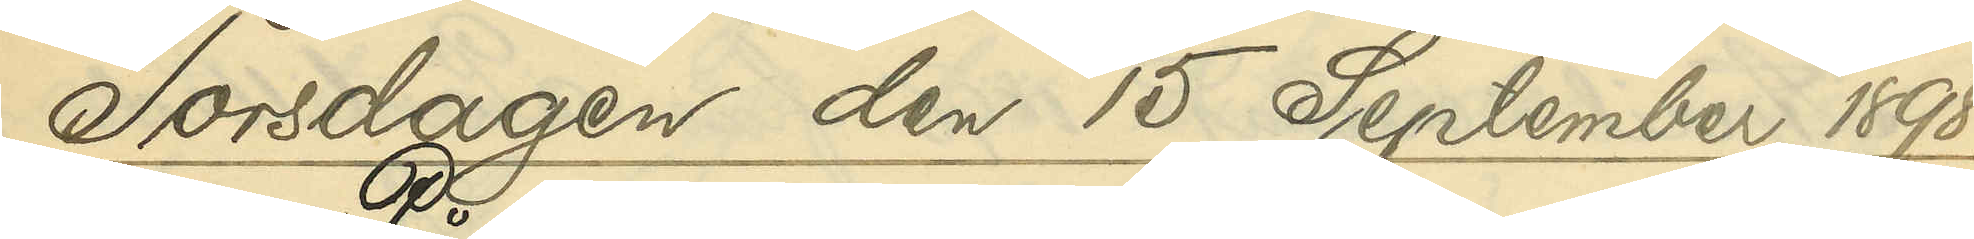Torsdagen den 15 September 1898
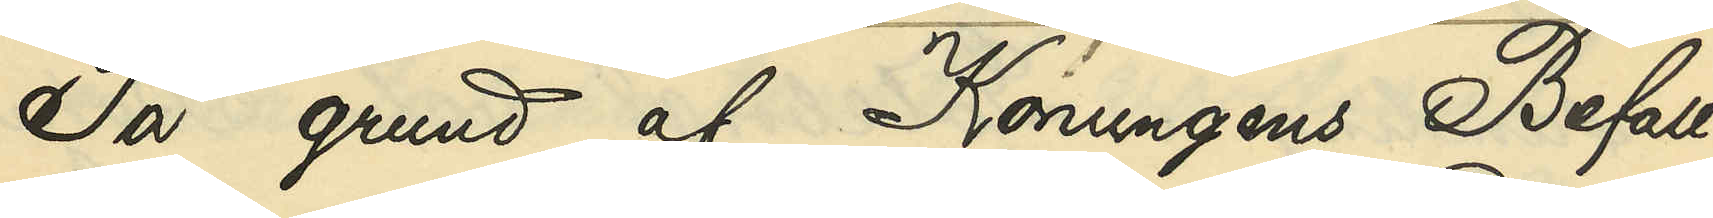På grund af Konungens Befall¬
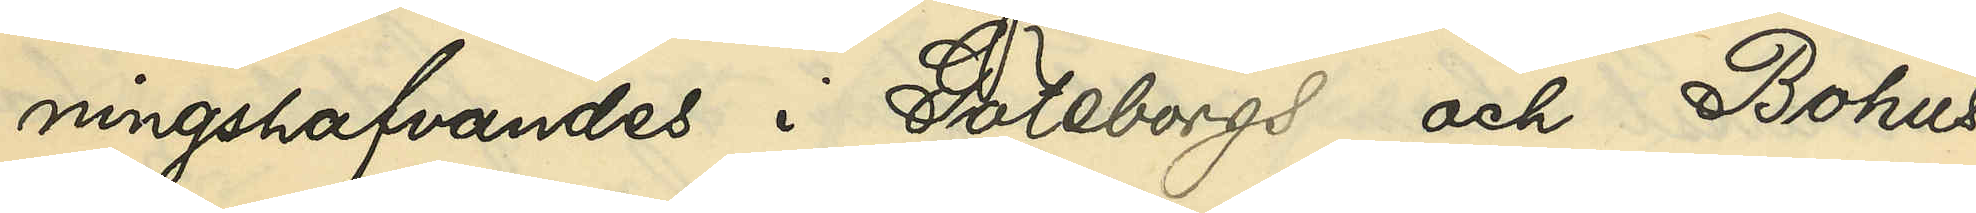ningshafvandes i Göteborgs och Bohus
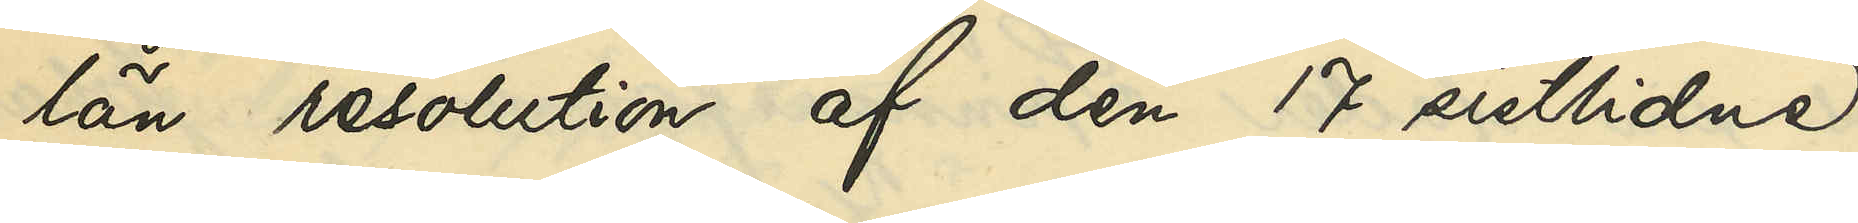län resolution af den 17 sistlidne
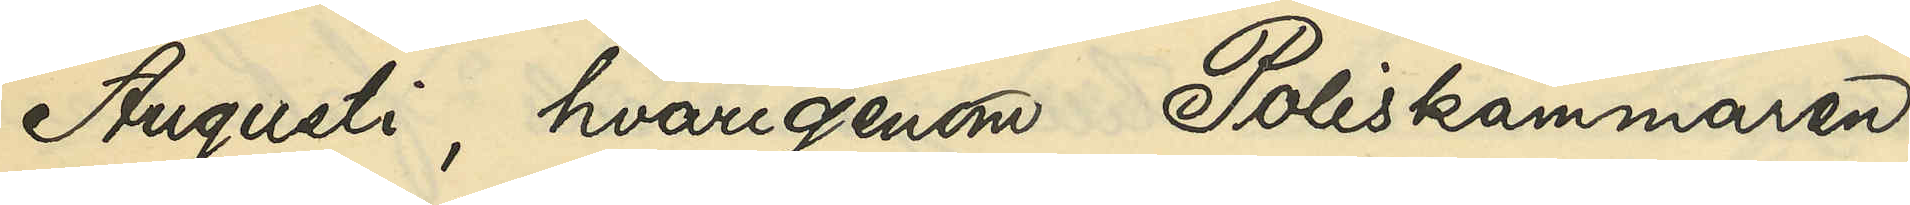Augusti, hvarigenom Poliskammaren
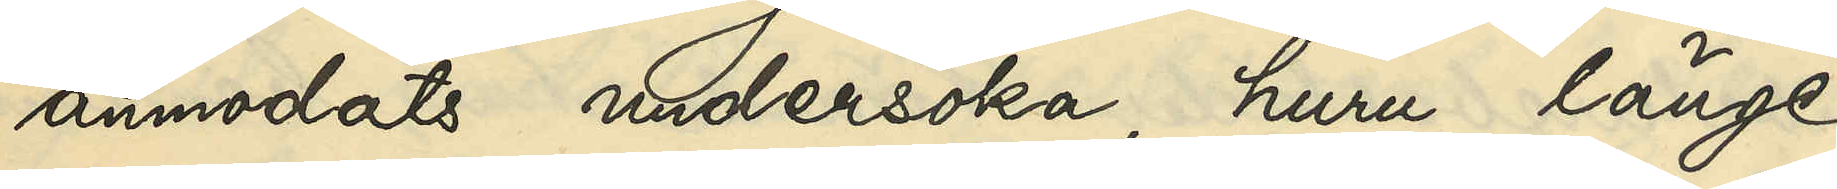anmodats undersöka, huru länge
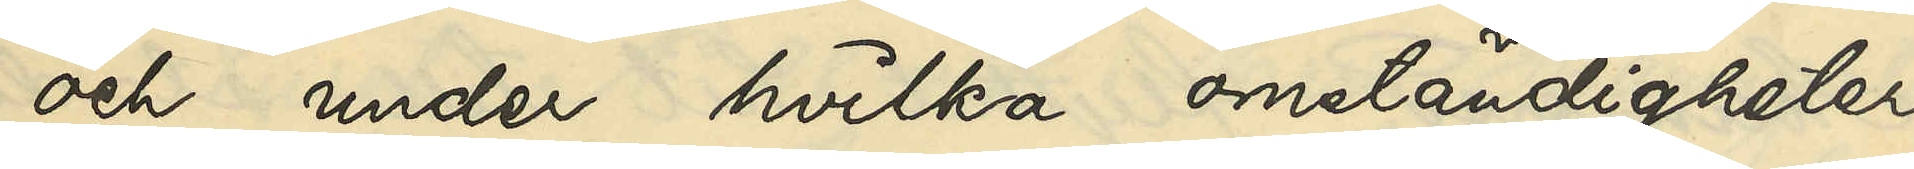och under hvilka omständigheter
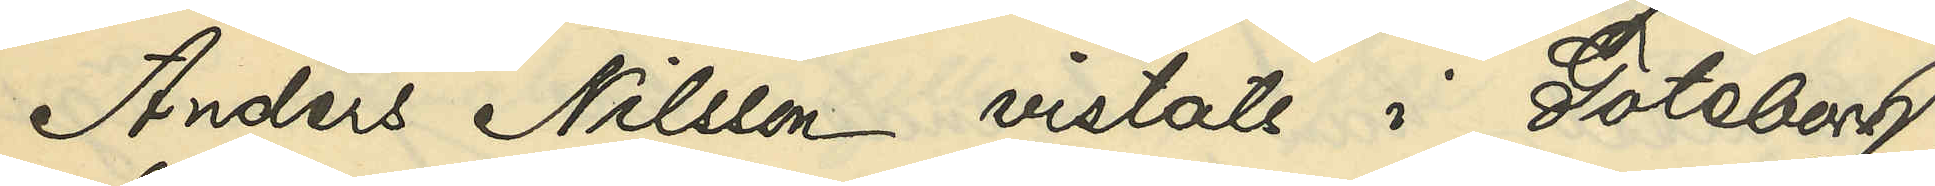Anders Nilsson vistats i Göteborg,
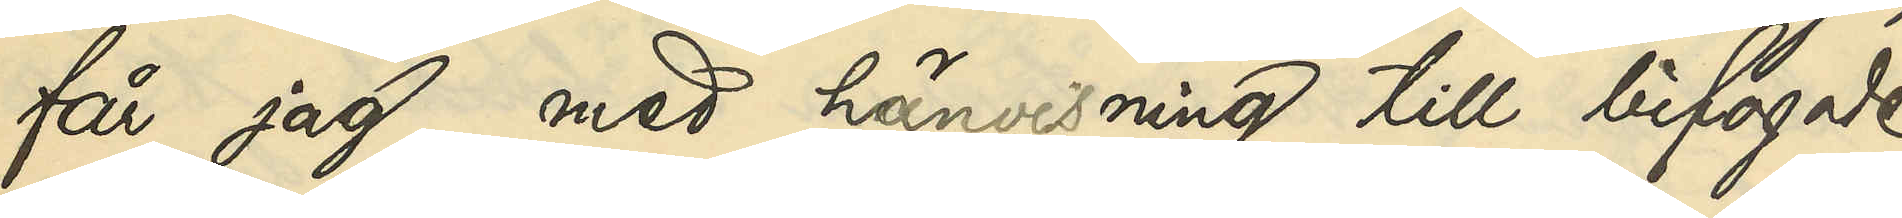får jag, med hänvisning till bifogade
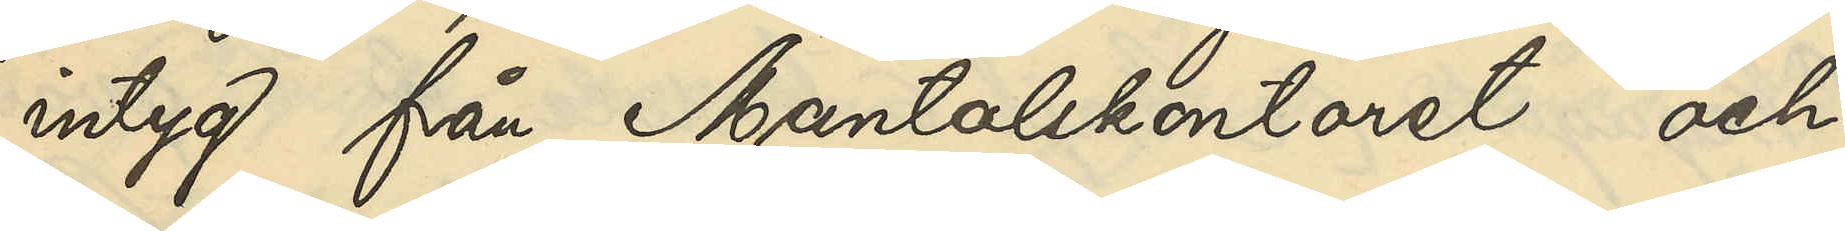intyg från Mantalskontoret och
